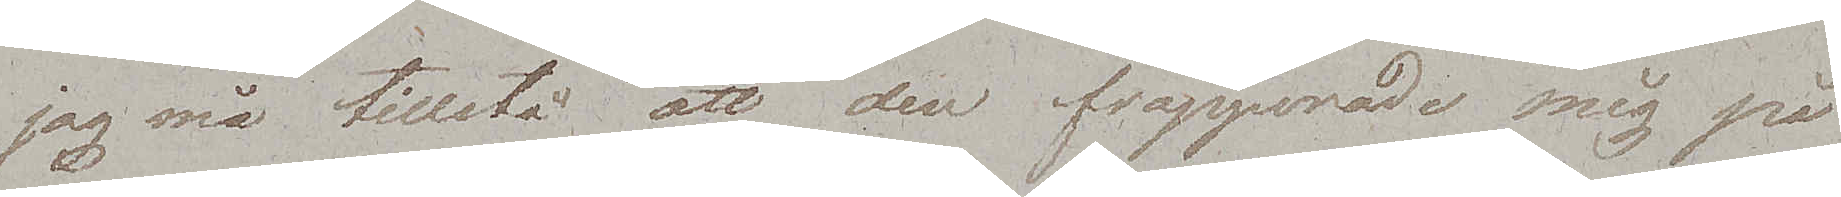jag må tillstå att den frapperade mig på
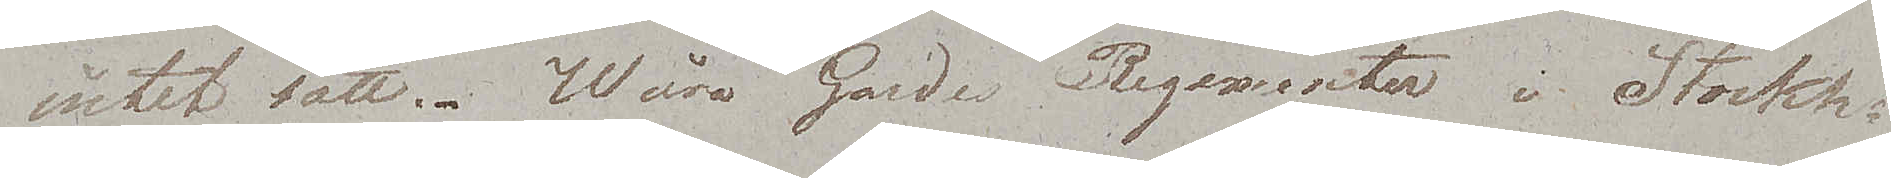intet sätt. Wåra Gardes Regementen i Stockh.
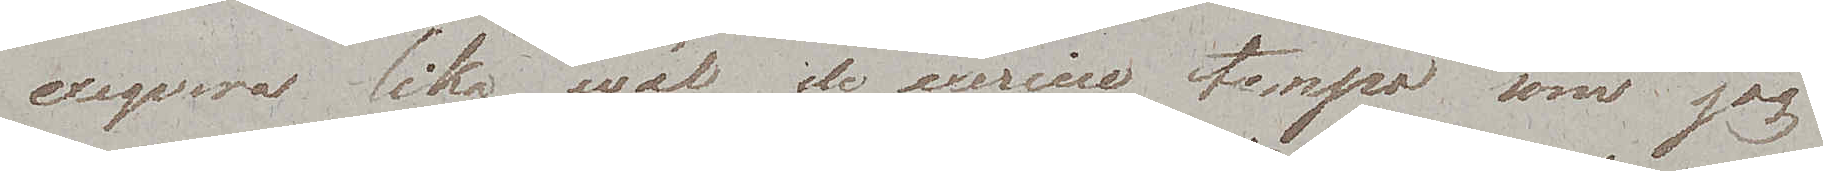exeqvera lika wäl de exercise tempo som jag
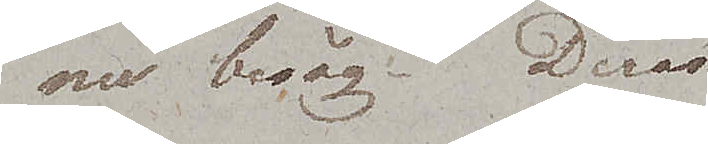nu besåg. Deras
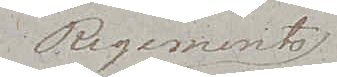Regements¬
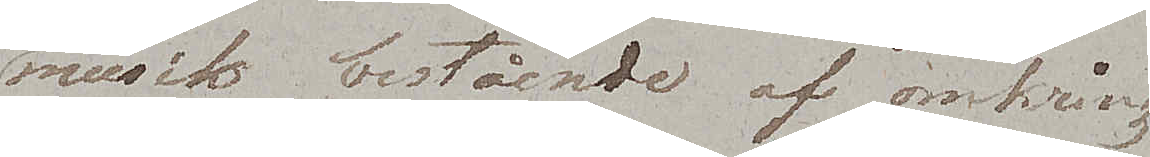musik bestående af omkring
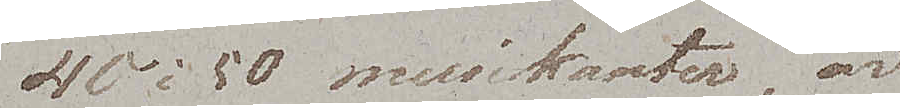40 à 50 musikanter, är
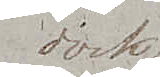dock
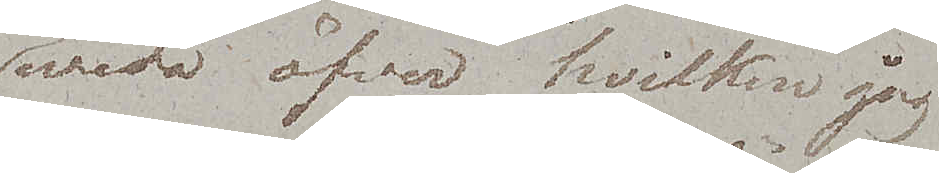wida öfver hvilken jag
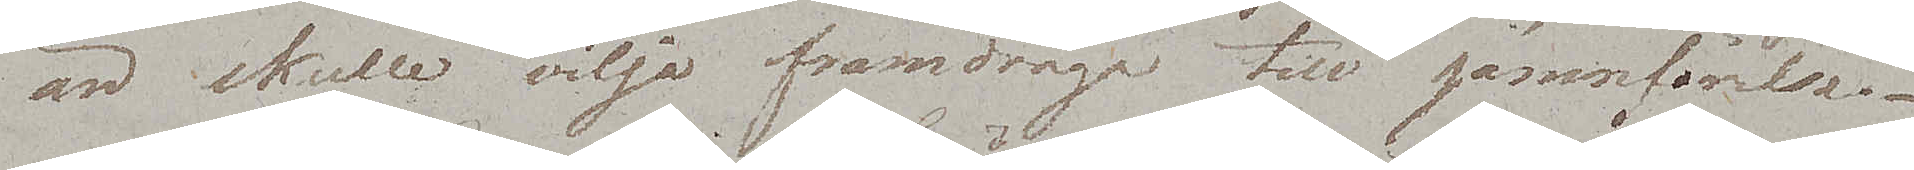än skulle vilja framdraga till jämnförelse
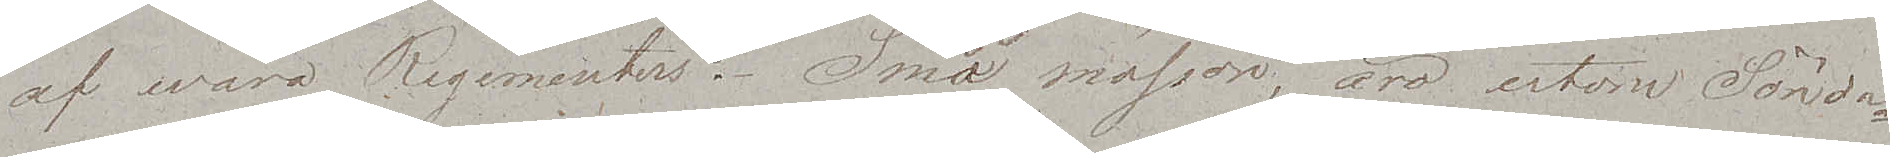af wåra Regementers. Små mössor äro utom Sönda¬
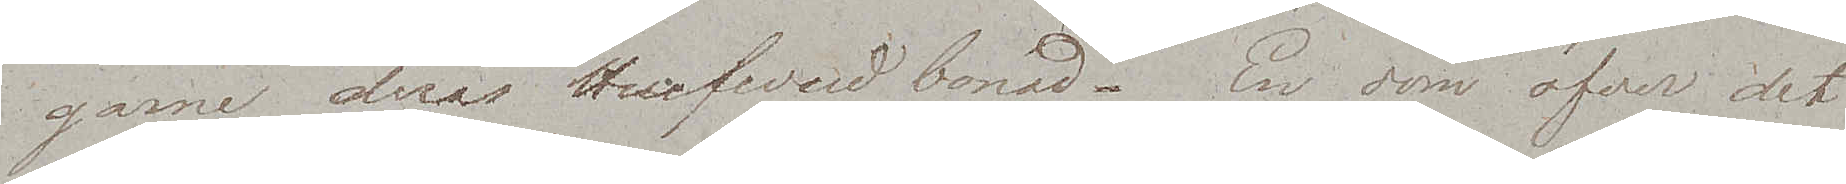garne, deras Hufvudbonad. En dom öfver det
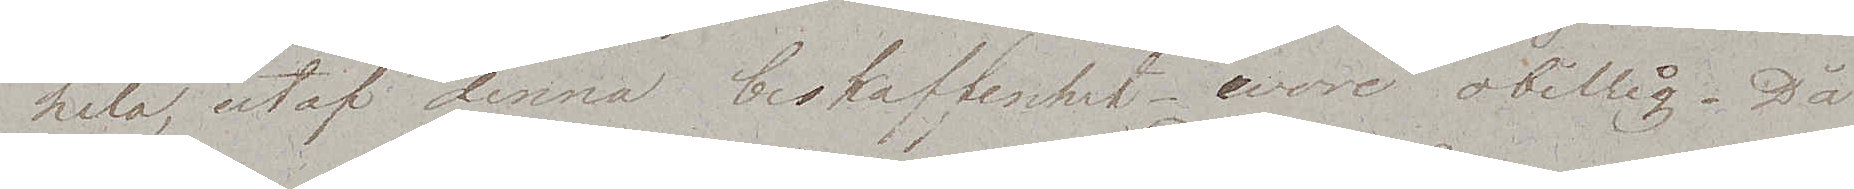hela, utaf denna beskaffenhet wore obillig. Då
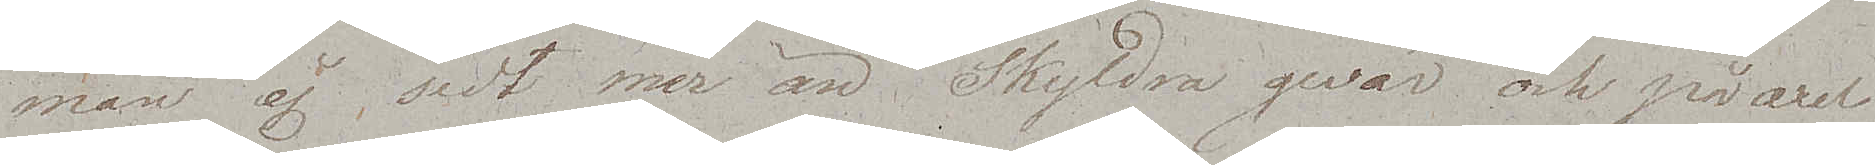man ej sedt mer än Skyldra gevär och på axel
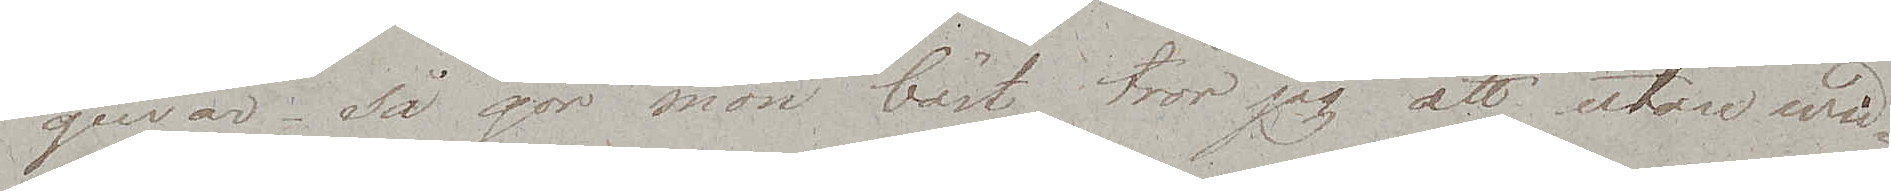gevär – så gör man bäst, tror jag att utan wid¬
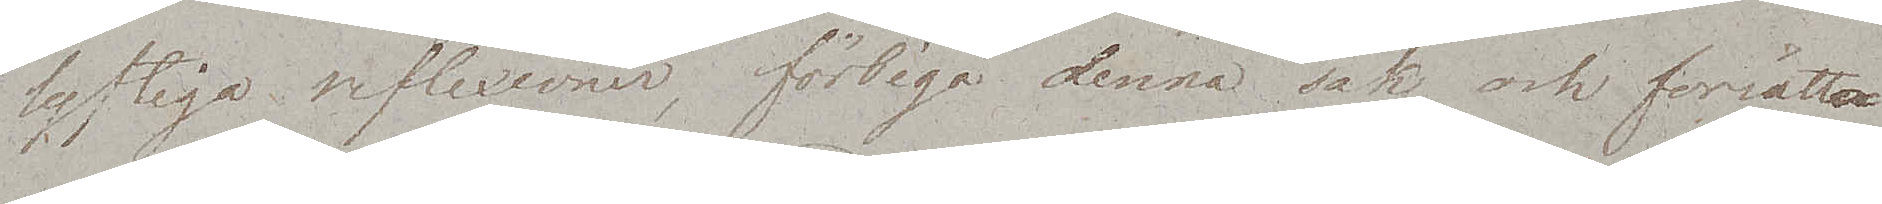lyftiga reflexioner, förbigå denna sak, och försätta
